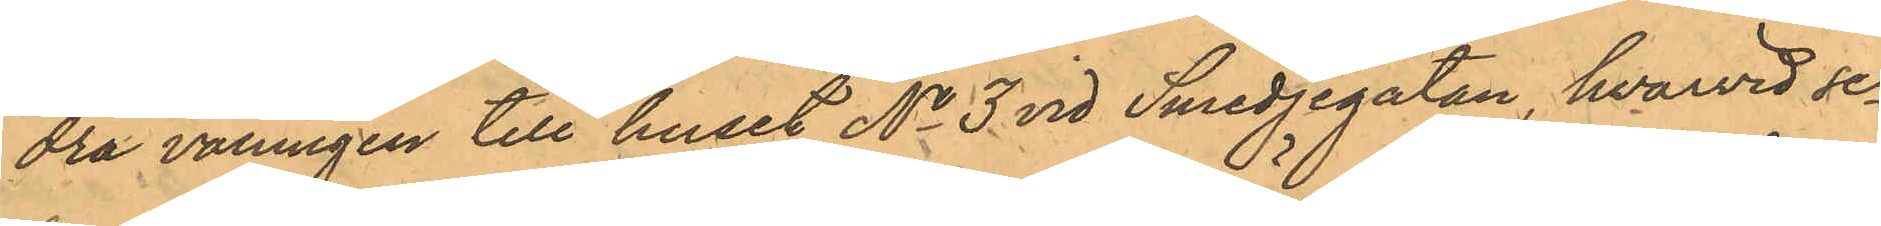dra våningen till huset No 3 vid Smedjegatan, hvarvid se¬ 
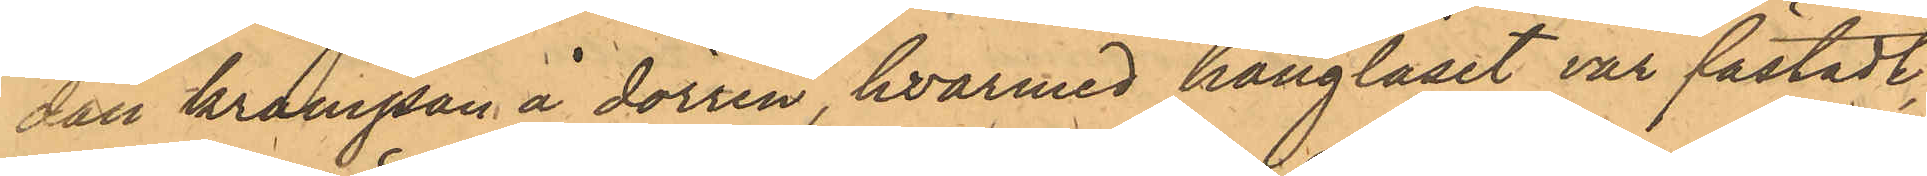dan krampan å dörren, hvarmed hänglåset var fästadt,
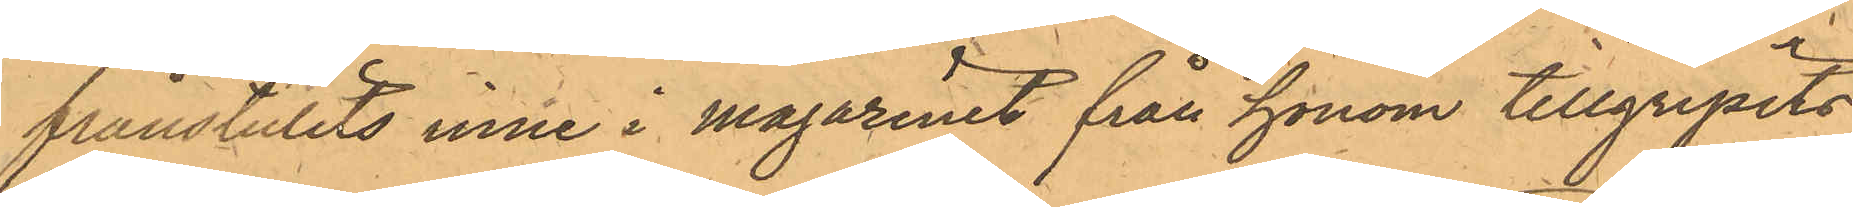frånstulits inne i magasinet från honom tillgripits
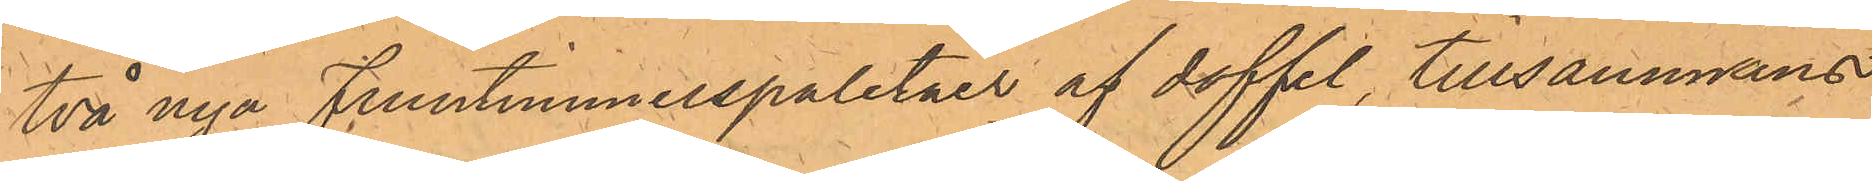två nya Fruntimmerspaletåer af doffel, tillsammans
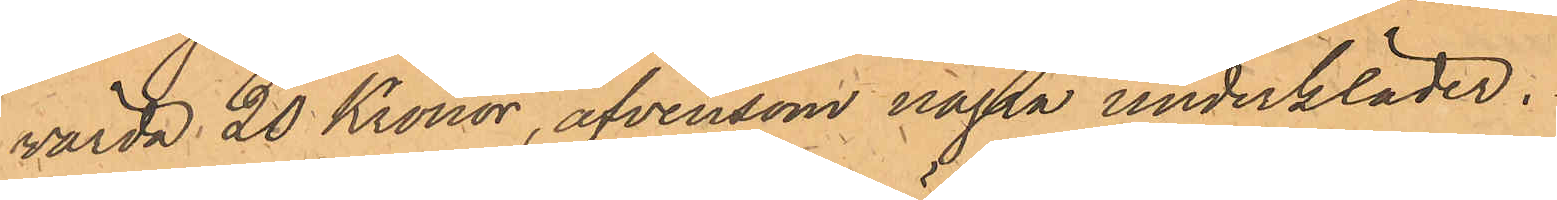värda 20 Kronor, äfvensom några underkläder.
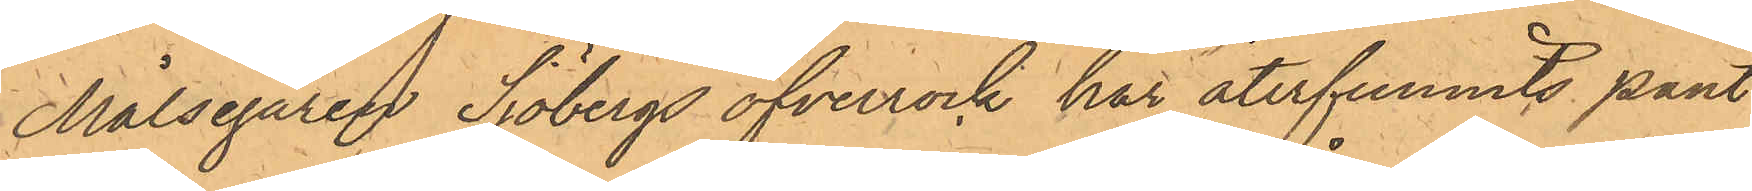Målsegaren Sjöbergs öfverrock har återfunnits pant¬
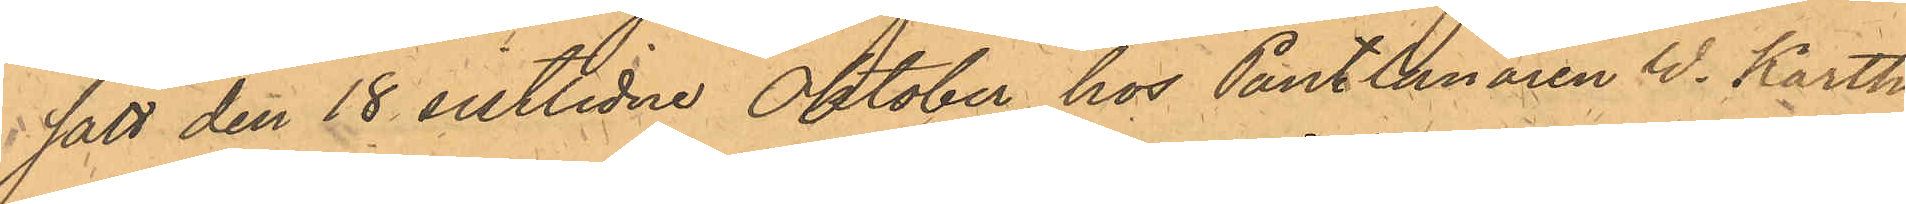satt den 18 sistlidne Oktober hos Pantlånaren W. Karth
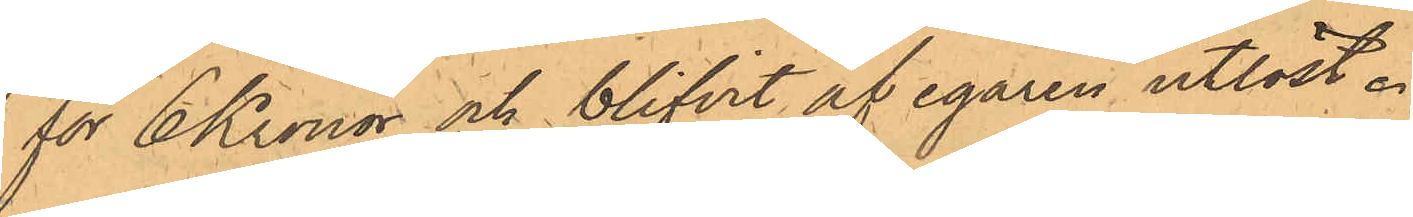för 6 Kronor och blifvit af egaren utlöst.
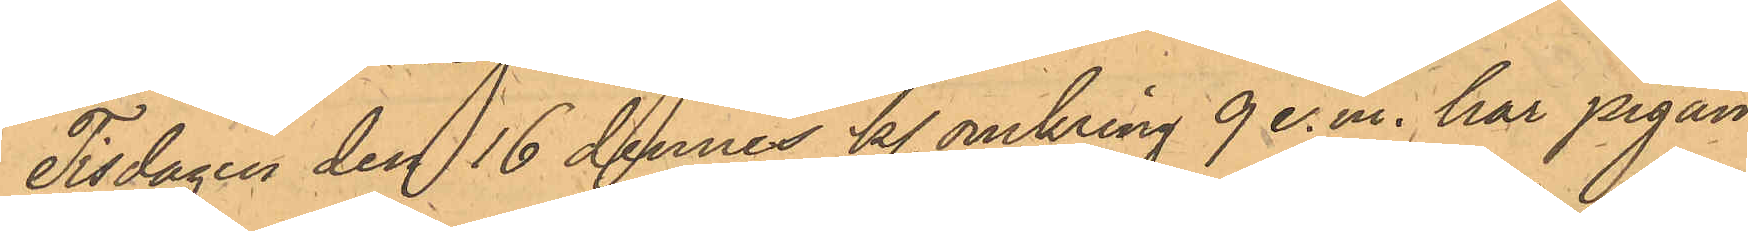Tisdagen den 16 dennes kl. omkring 9 e.m. har pigan
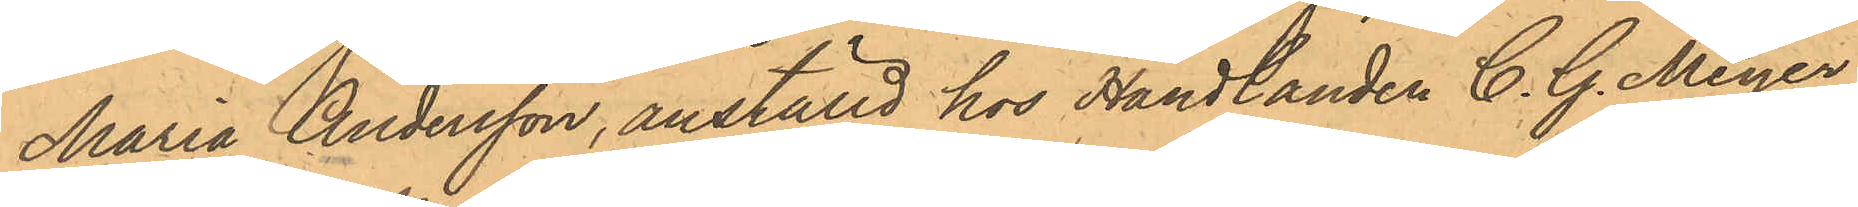Maria Andersson, anställd hos Handlanden C. G. Meyer,
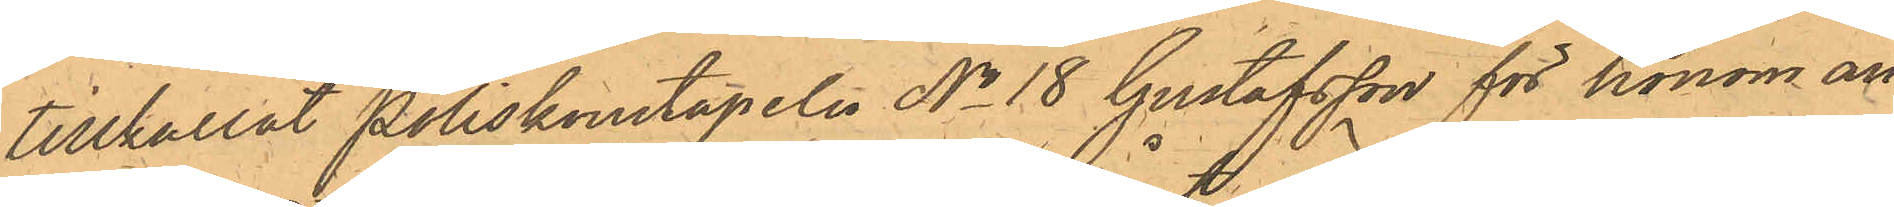tillkallat Poliskonstapeln No 18 Gustafsson för honom an¬
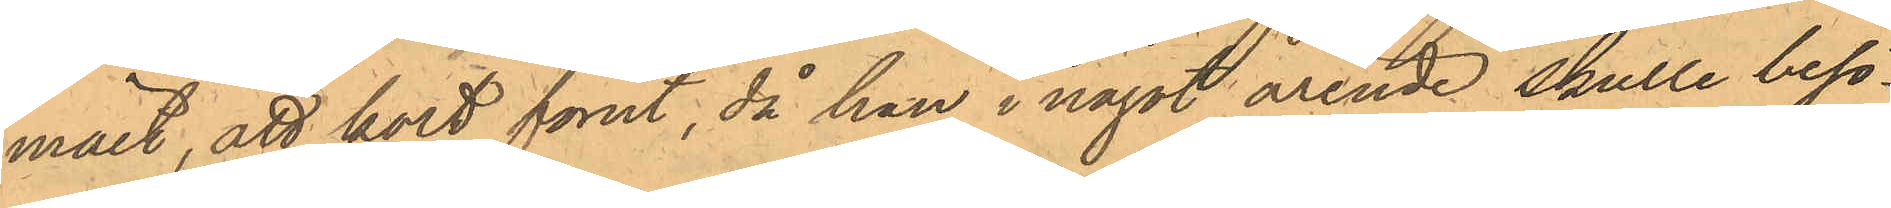mält, att kort förut, då hon i något ärende skulle besö¬
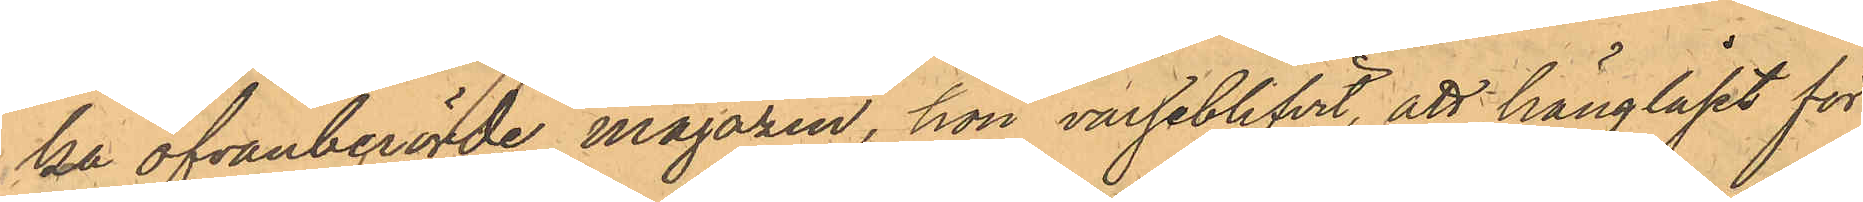ka ofvanberörde magazin, hon varseblifvit, att hänglåset för
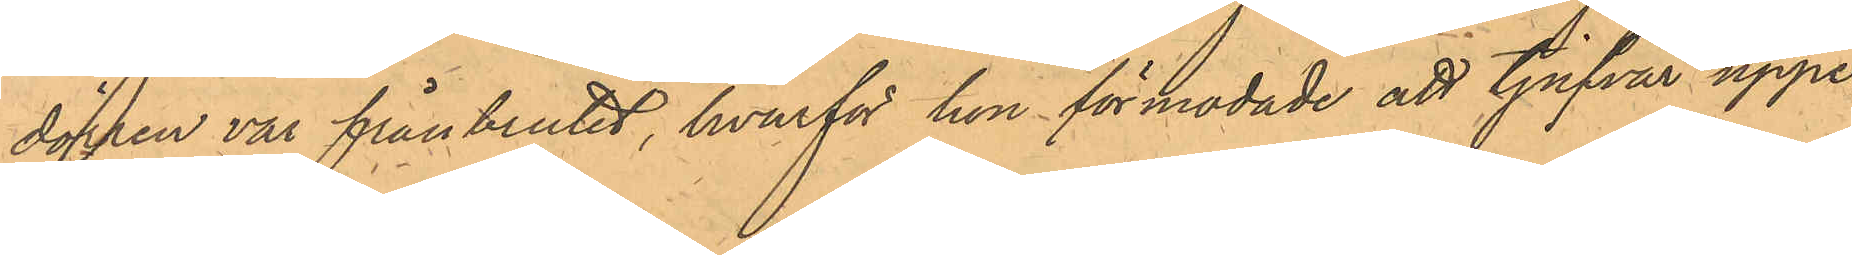dörren var frånbrutet, hvarför hon förmodade att tjufvar uppe¬
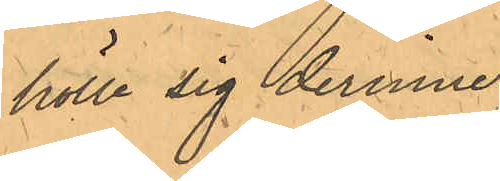hölle sig derinne.
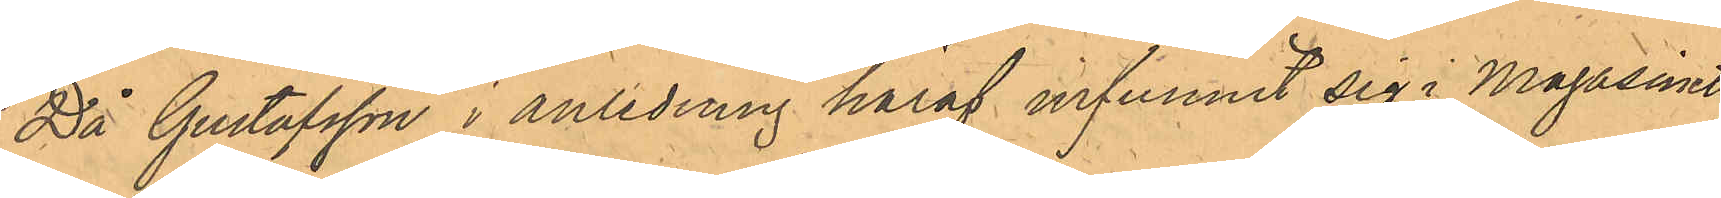Då Gustafsson i anledning häraf infunnit sig i Magasinet
